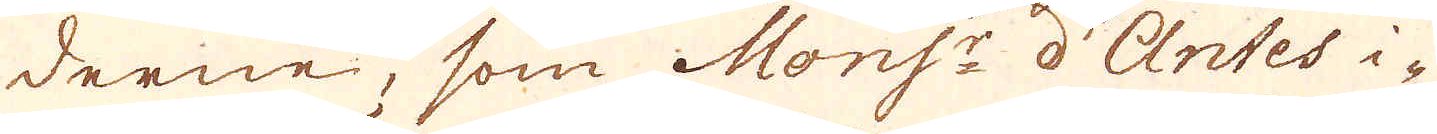derne, som Mons:r d'Antes i-
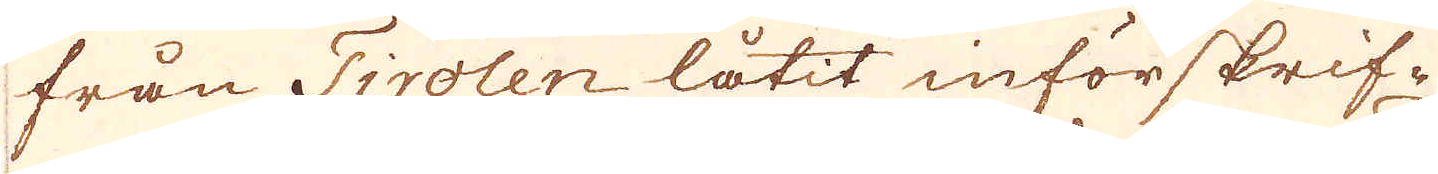från Tirolen låtit införskrif-
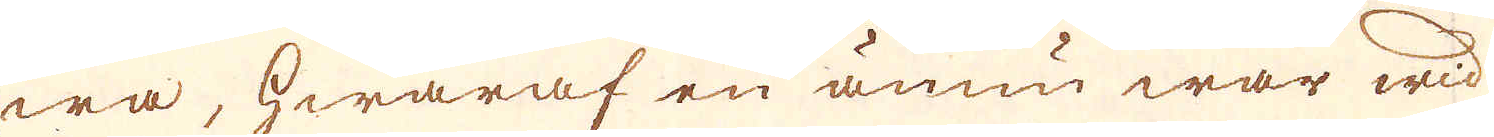wa, hwaraf en ännu war wid
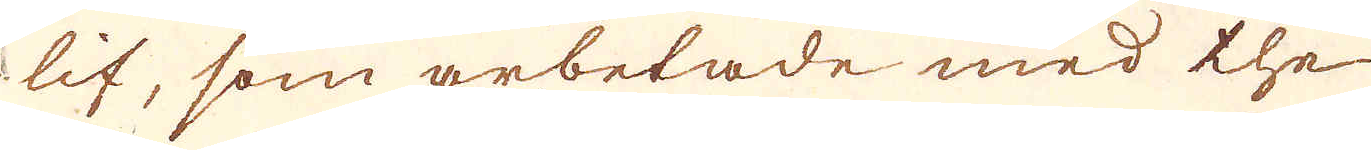lif, som arbetade med the
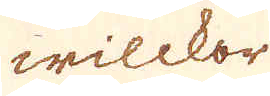wilckor
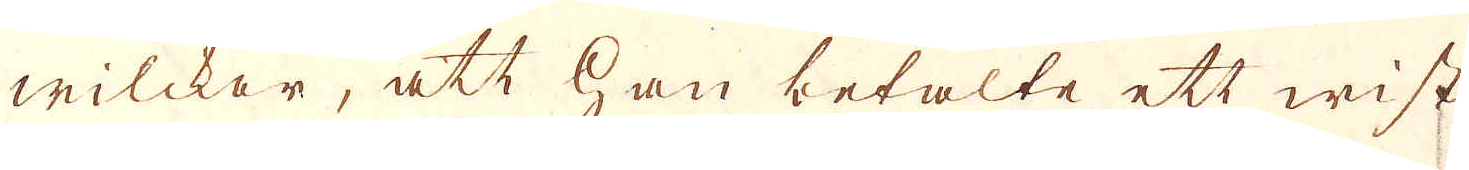wilckor, att han betalte ett wist
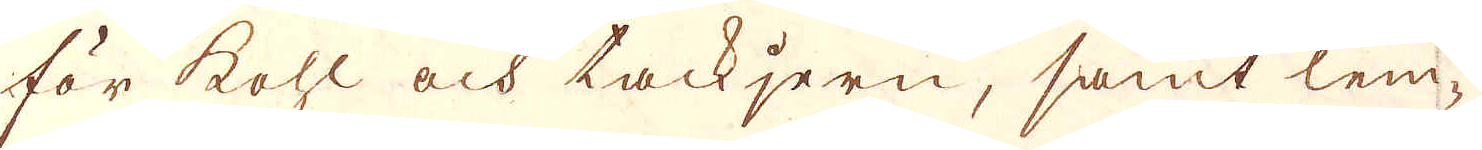för kohl och tackjern, samt lem-
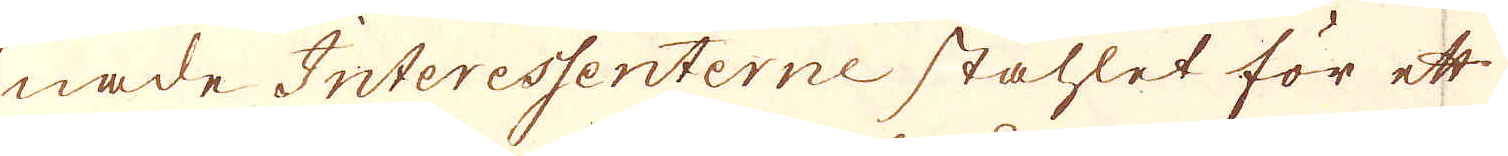nade Interessenterne stahlet för ett
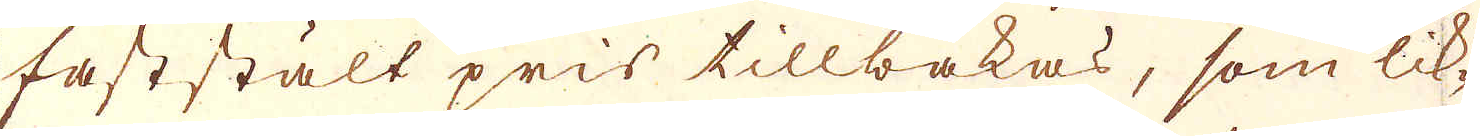faststält pris tillbakas, som lik-
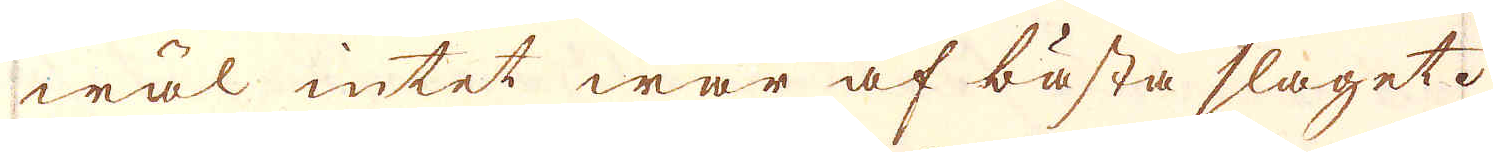wäl intet war af bästa slaget.
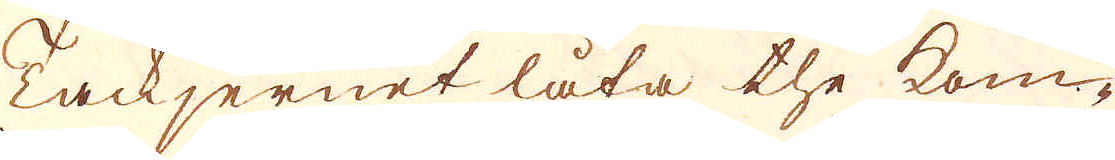Tackjernet låta the kom-
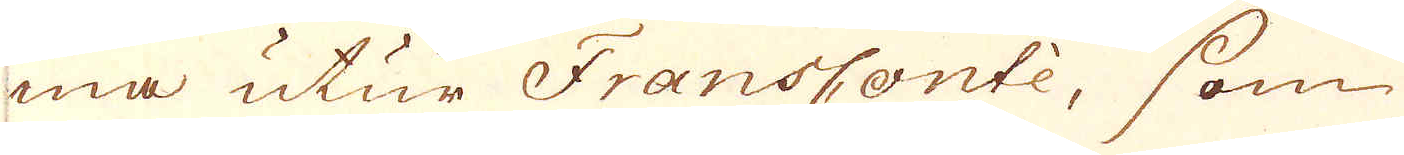ma utur FransContè, som
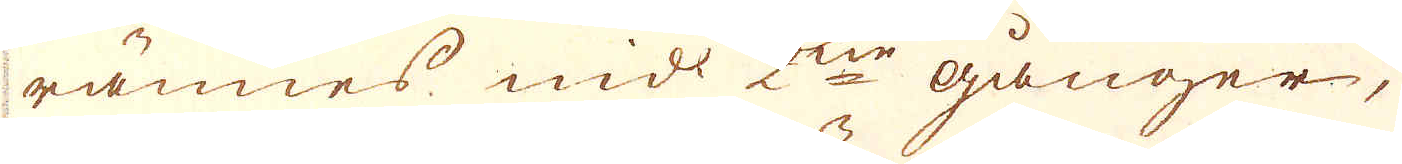rännes wid 2ne gånger,
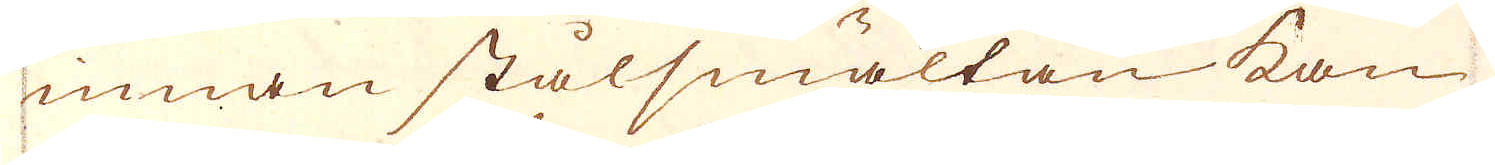innan stålsmältan kan
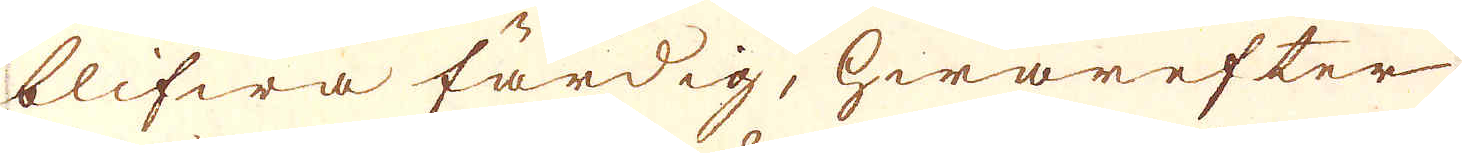blifwa färdig, hwarefter
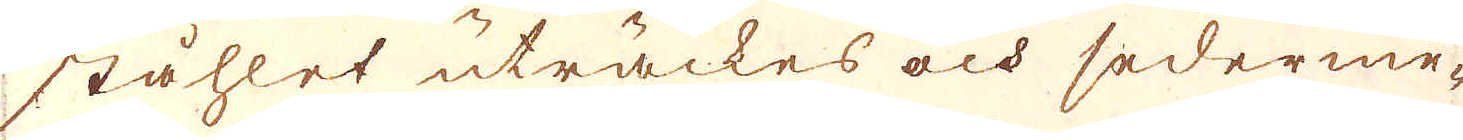ståhlet uträckes och sederme-
